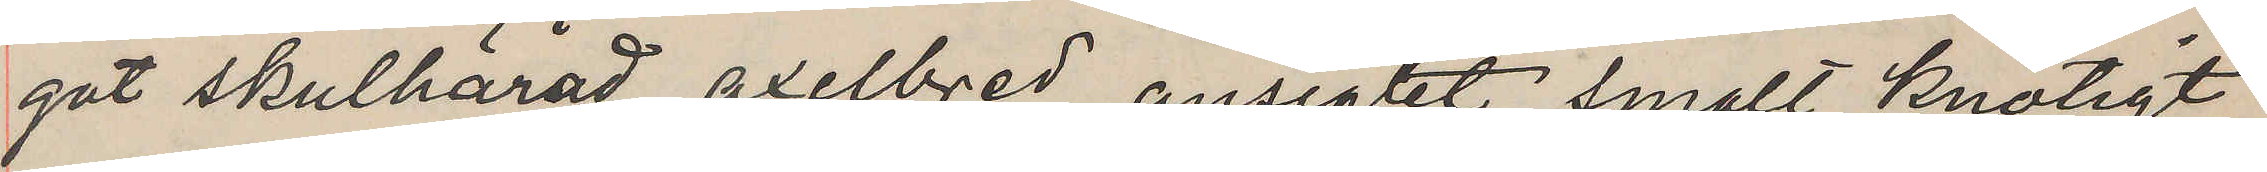got skulhärad, axelbred, ansigtet smalt knotigt
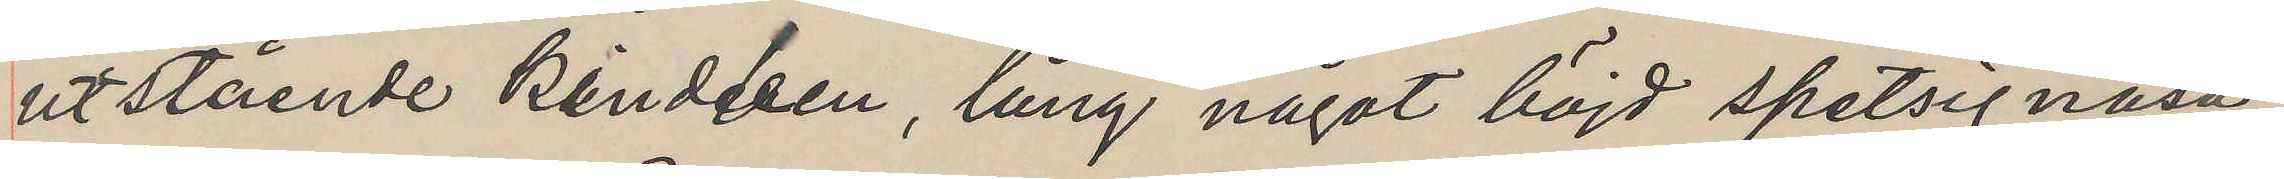utstående kindben, lång något böjd spetsig näsa
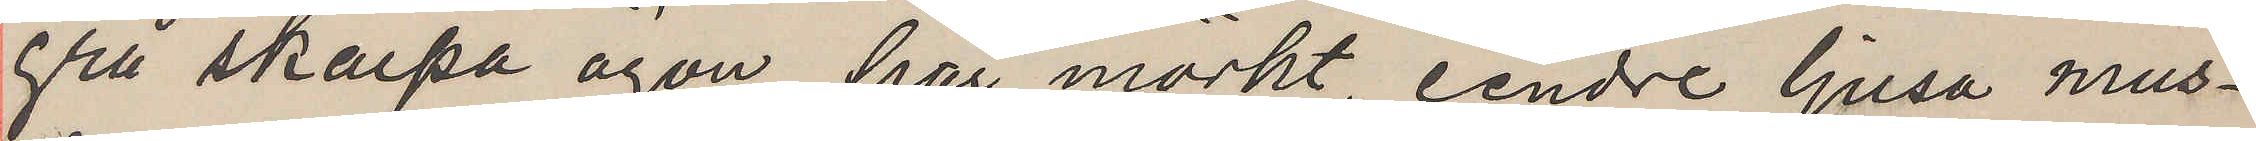grå skarpa ögon, hår mörkt, cendre ljusa mus¬
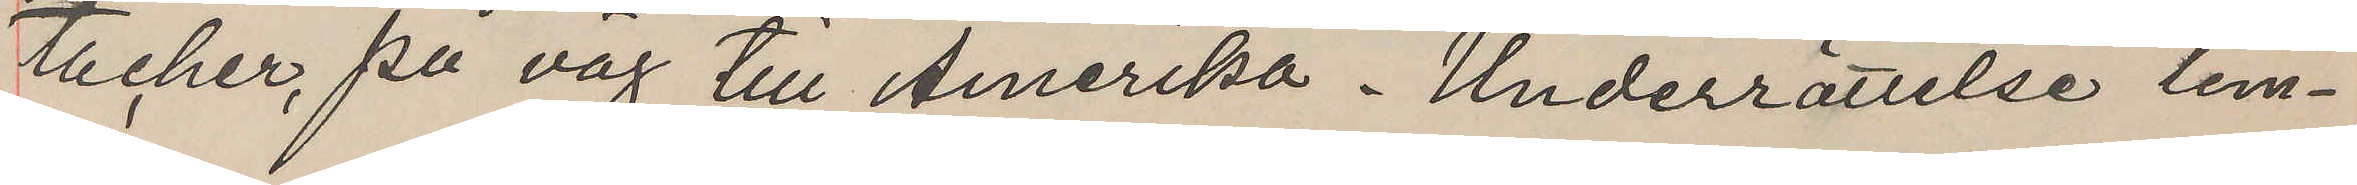tacher, på väg till Amerika. Underrättelse lem¬
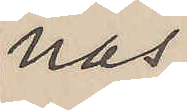nas
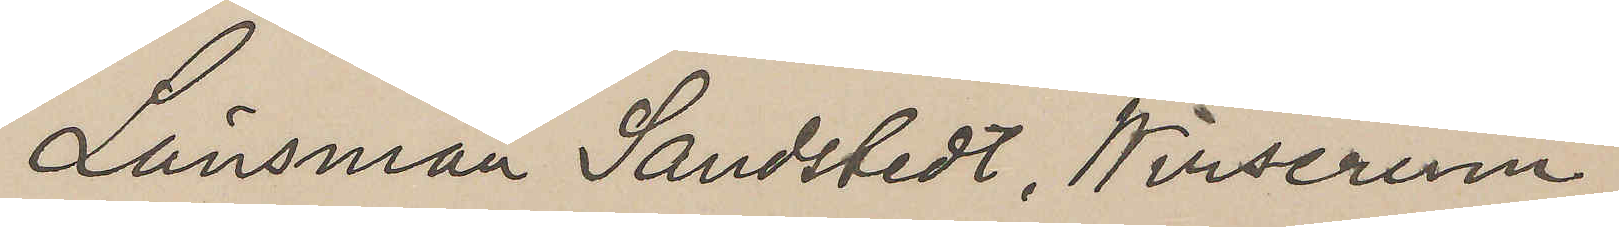Länsman Sandstedt, Wirserum
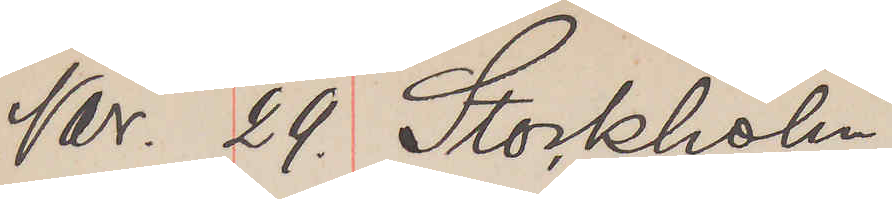Nov. 29. Stockholm
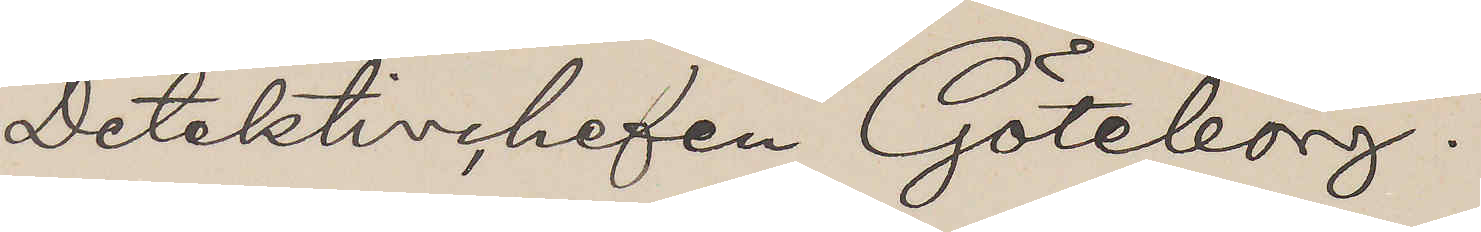Detektivchefen Göteborg.
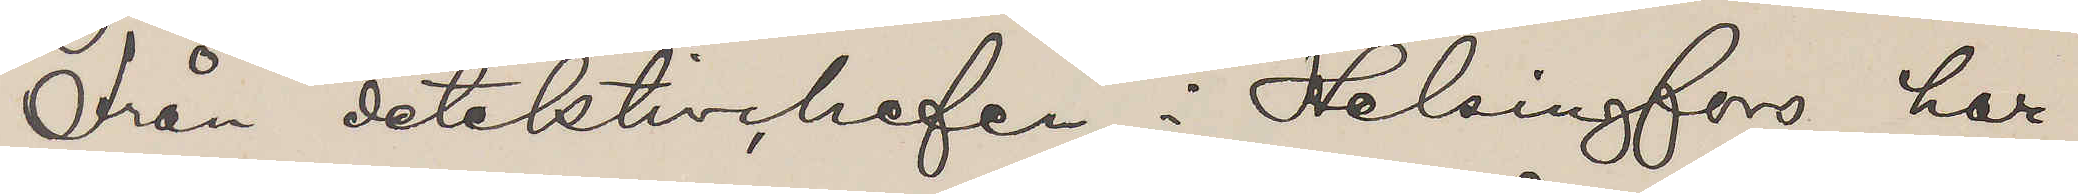Från detektivchefen i Helsingfors har
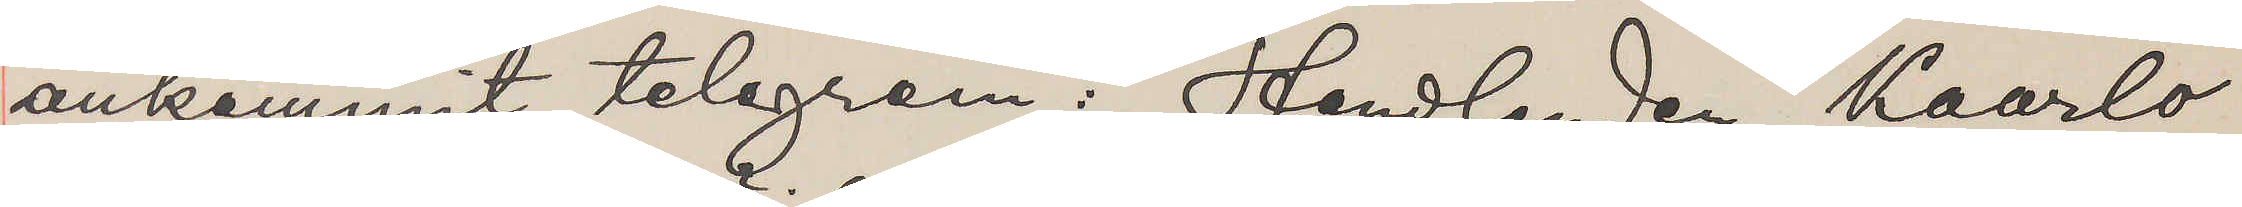ankommit telegram: "Handlanden Kaarlo
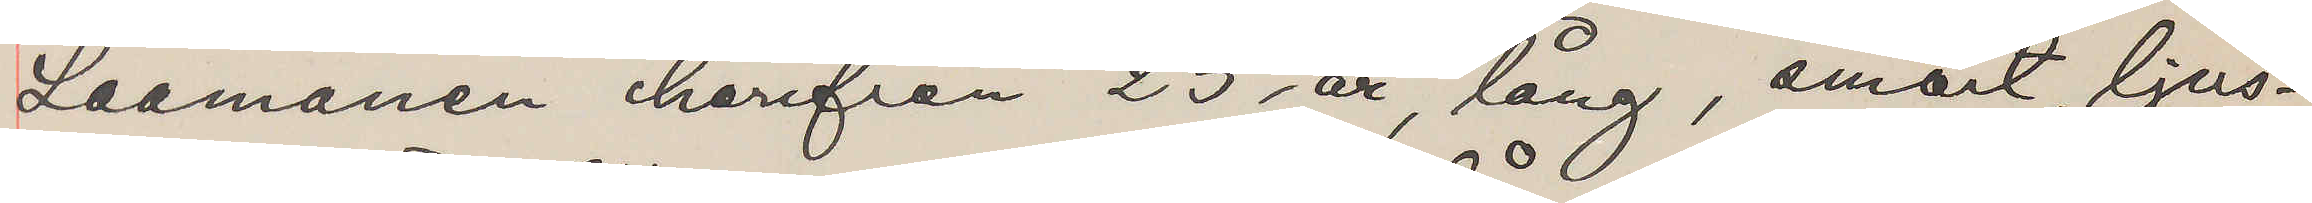Laamanen härifrån 23 år, lång, smärt, ljus¬
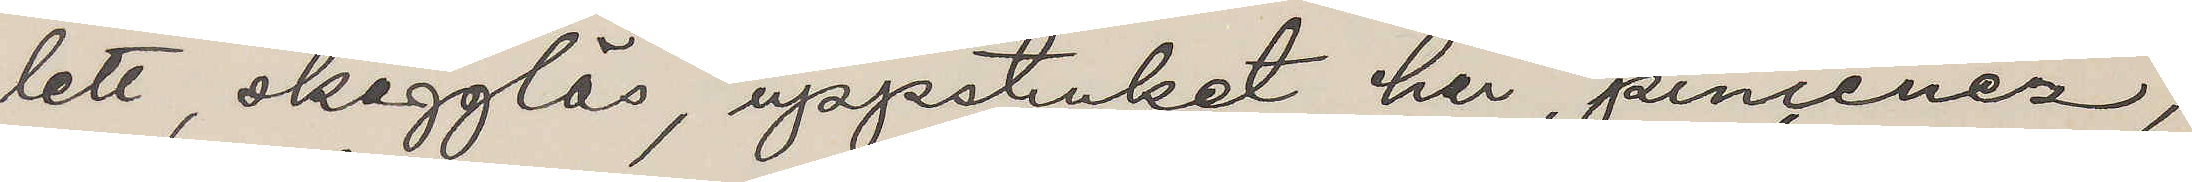lett, skägglös, uppstruket hår, pincenez,
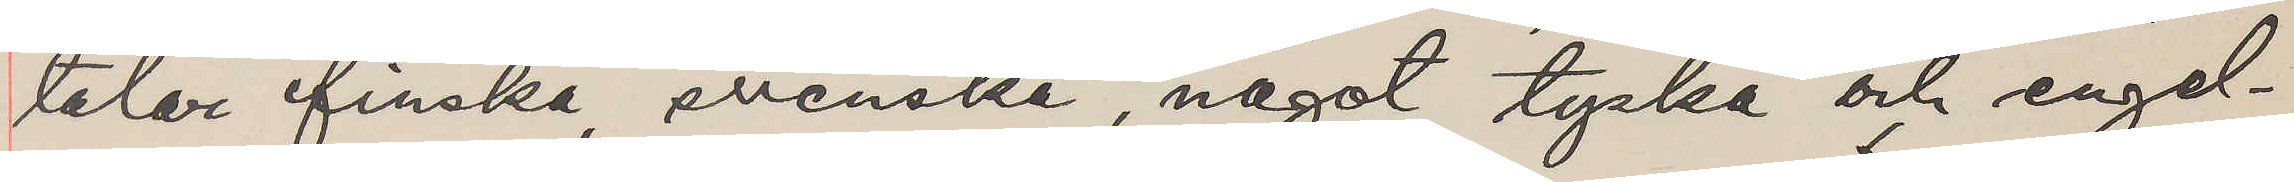talar finska, svenska, något tyska och engel¬
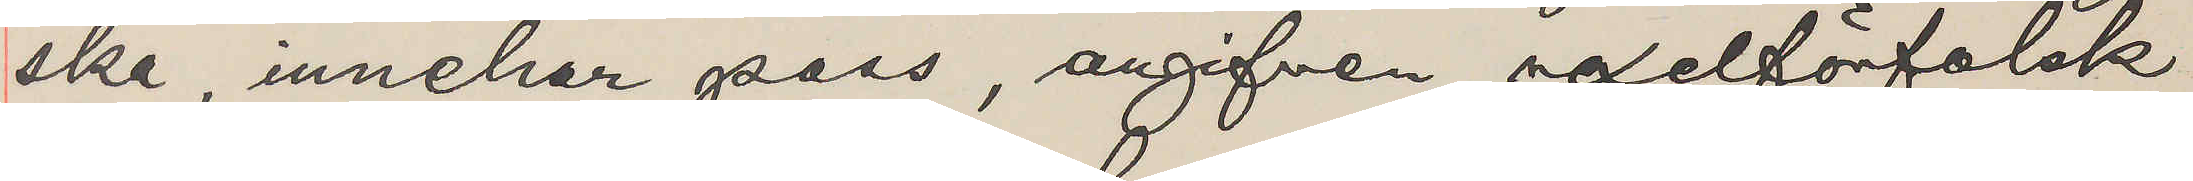ska, innehar pass, angifven vexelförfalsk¬
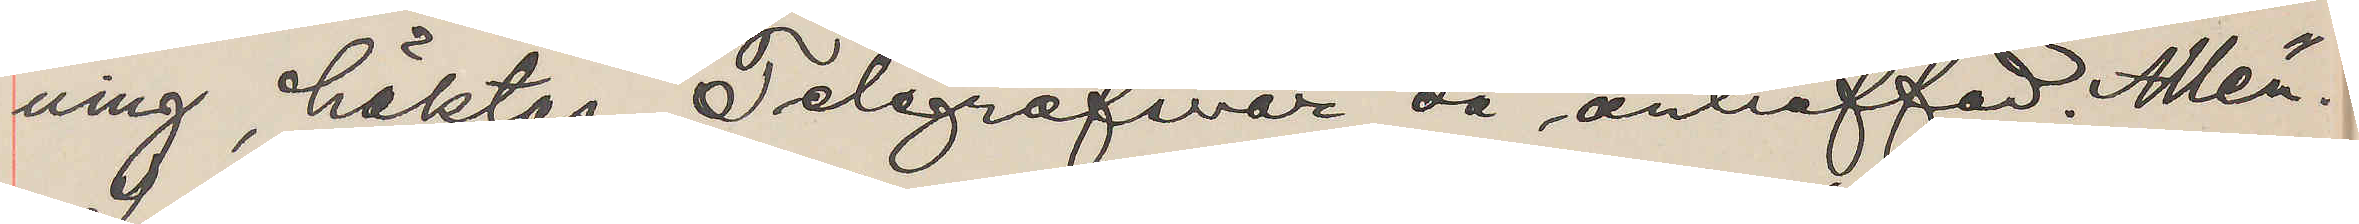ning, häktas. Telegrafsvar då anträffad. Allén.
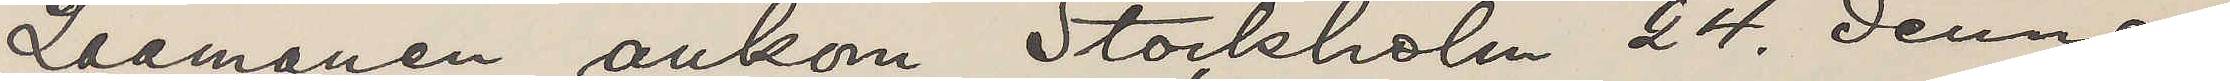Laamanen ankom Stockholm 24. dennes
